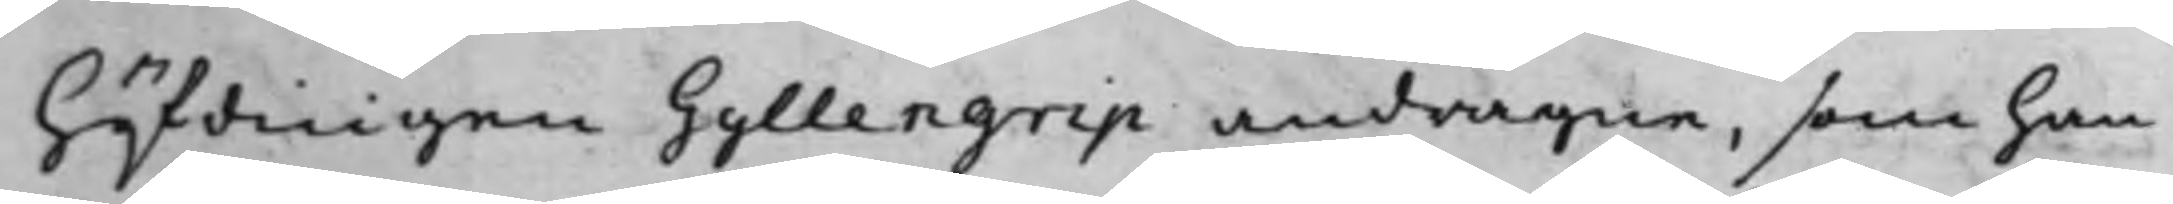höfdingen Gyllengrip andragne, som han
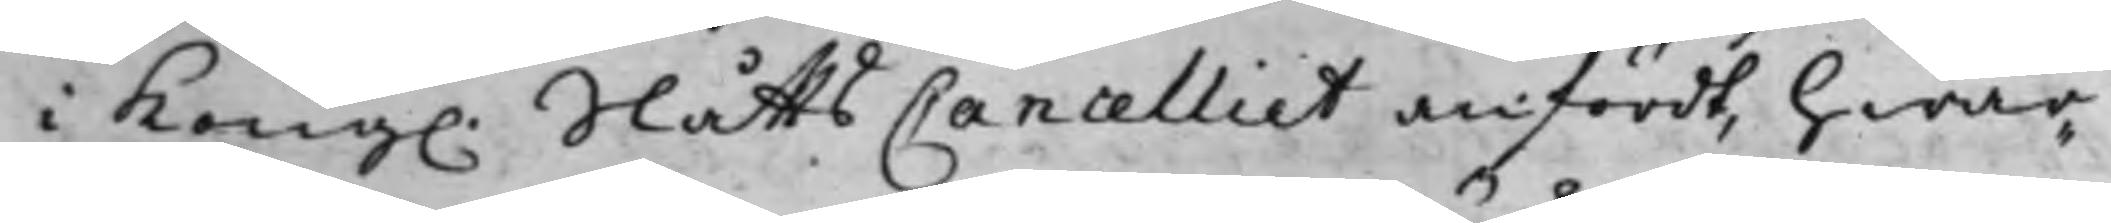i Kong. SlåttsCancelliet anfördt, hwar¬
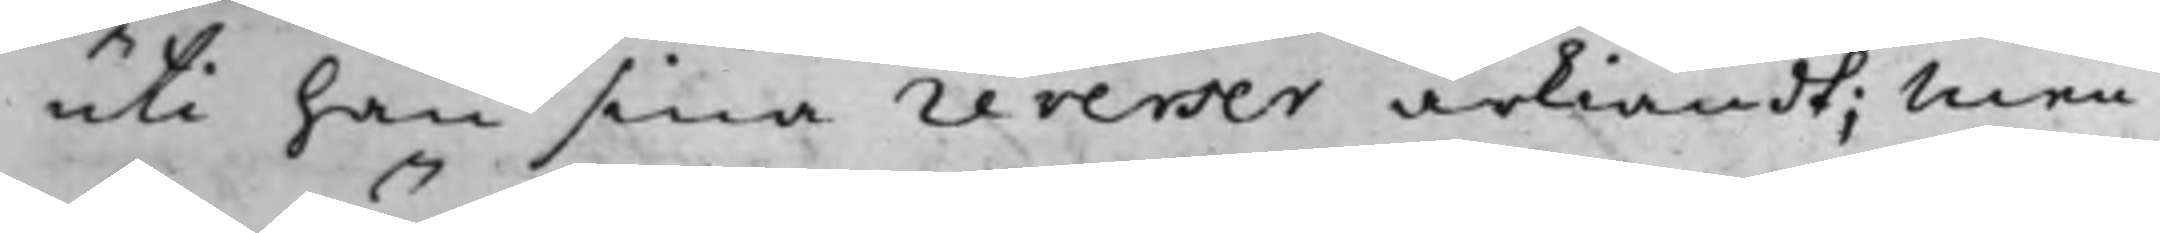uti han sina reverser ärkiändt; Men
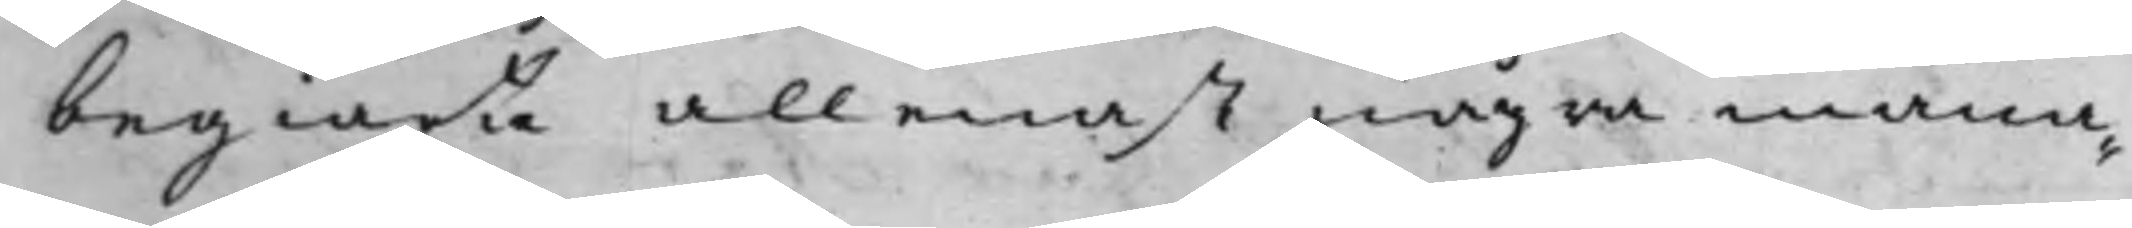begiärte allenast några måna¬
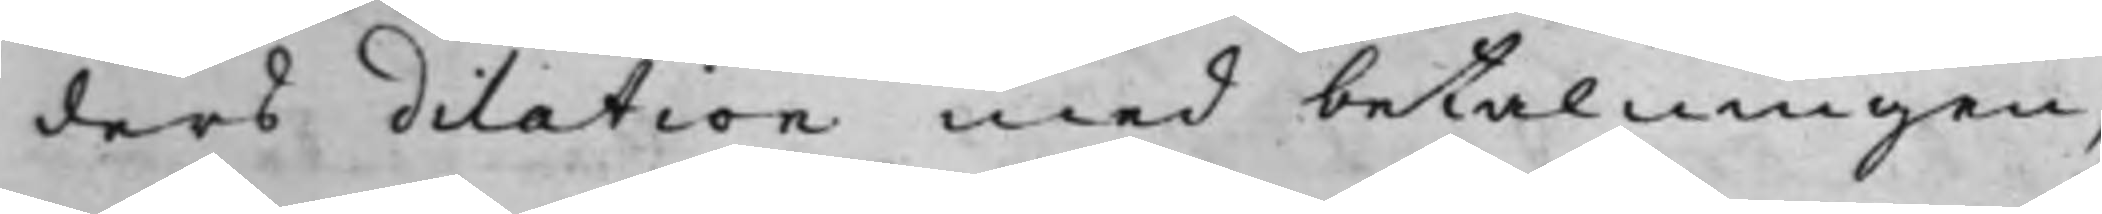ders dilation med betalningen,
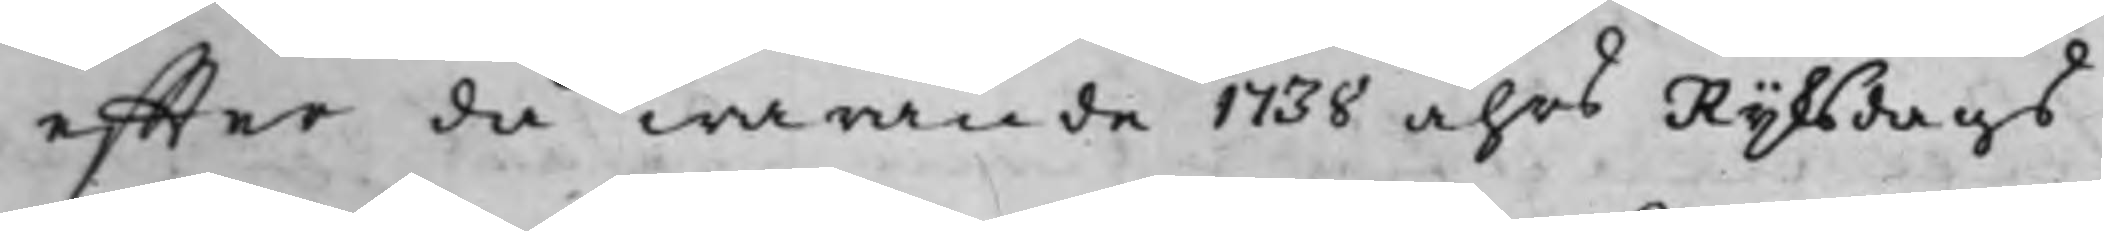effter då warande 1738 åhrs Rijksdags
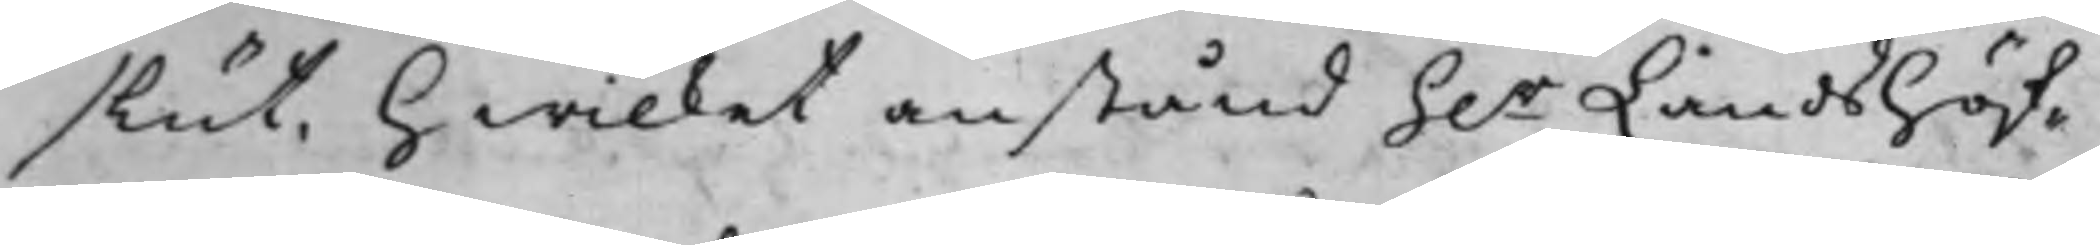slut. Hwilket anstånd h.r Landshöf¬
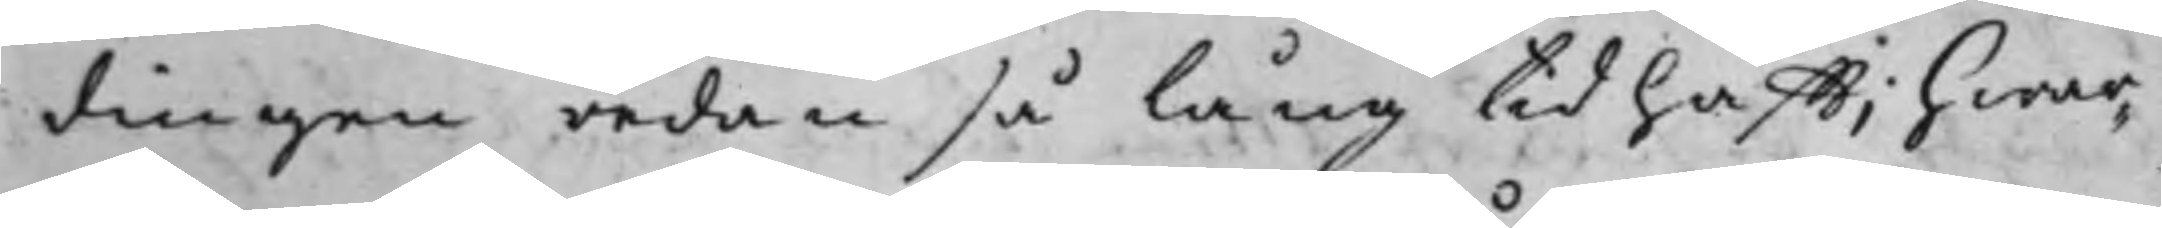dingen redan så lång tid hafft; hwar¬
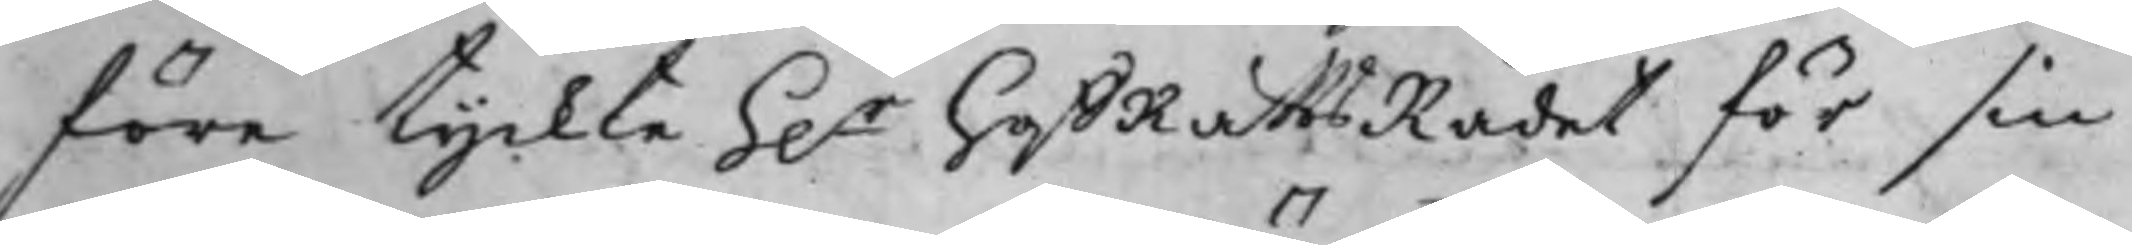före tyckte h.r hofRättsRådet för sin
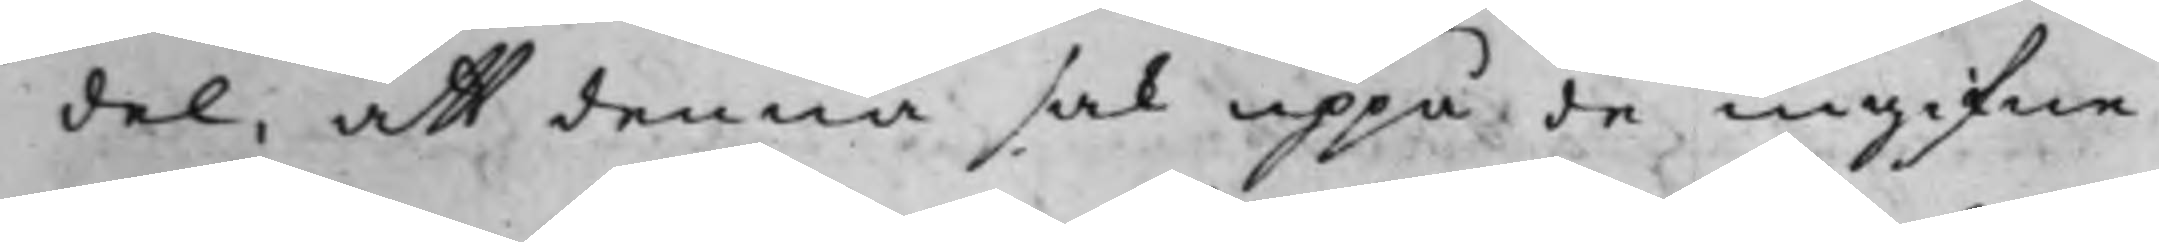del, att denna sak uppå de ingifne
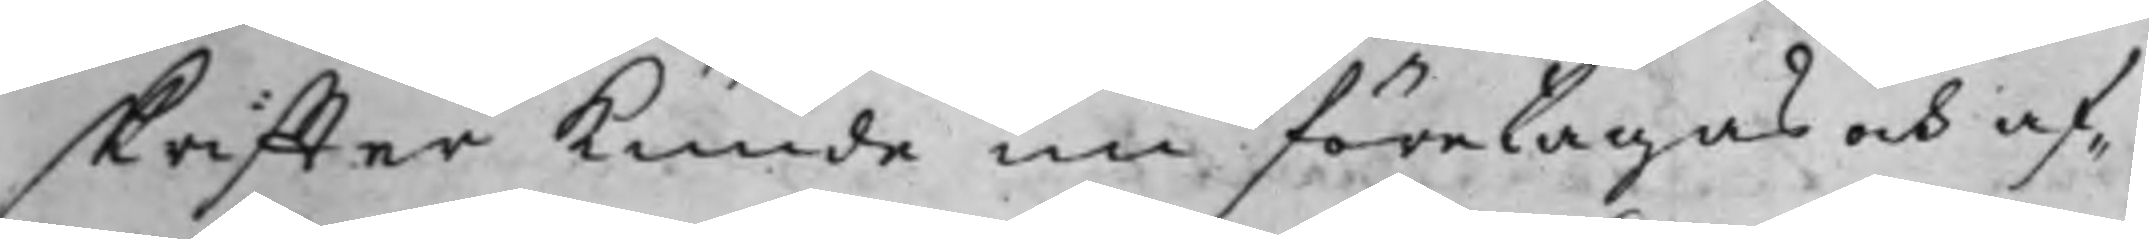skriffter kunde nu företagas och af¬
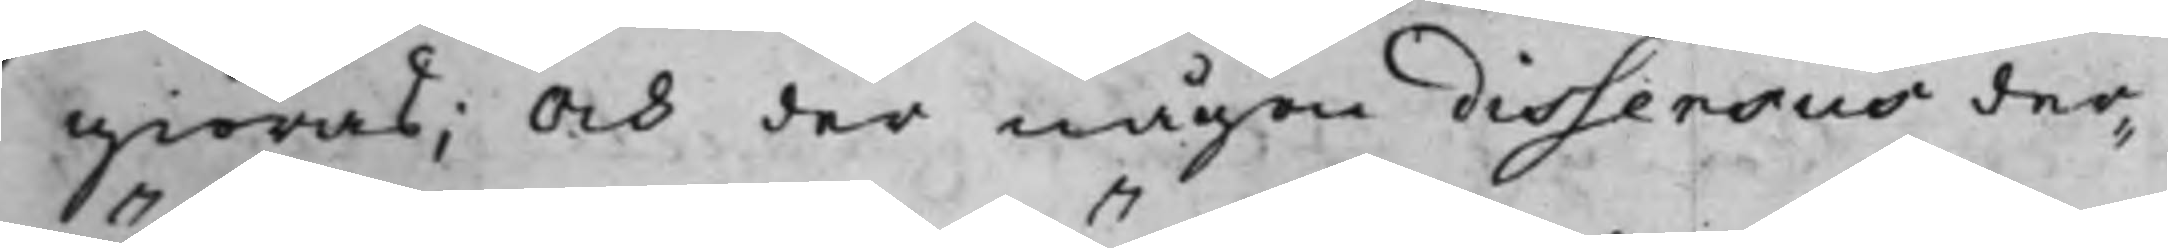giöras; Och der någon dissensus der¬
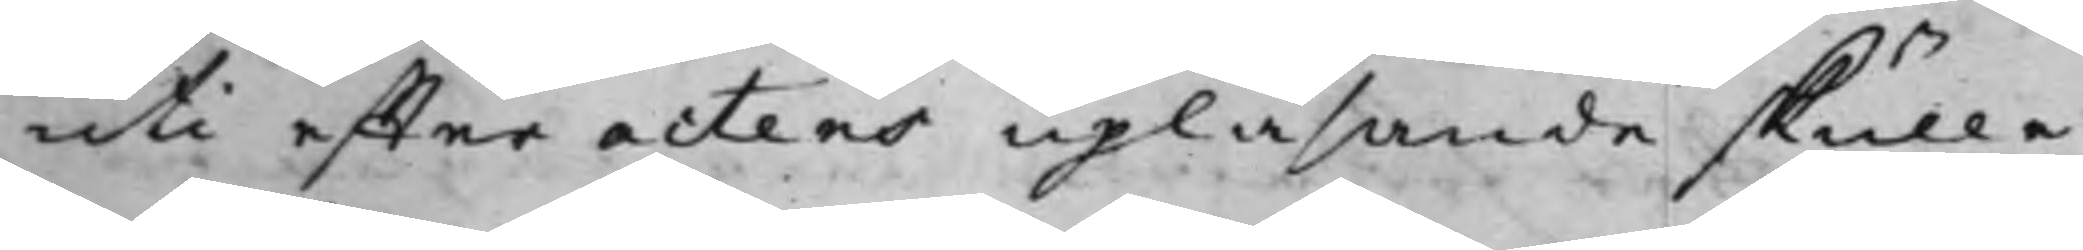uti effter actens upläsande skulle
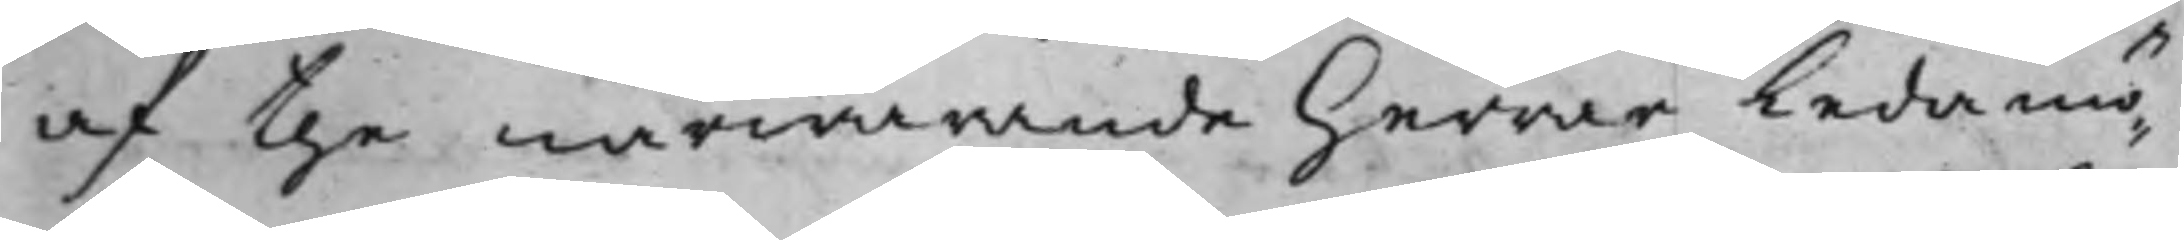af the närwarande Herrar Ledamö¬
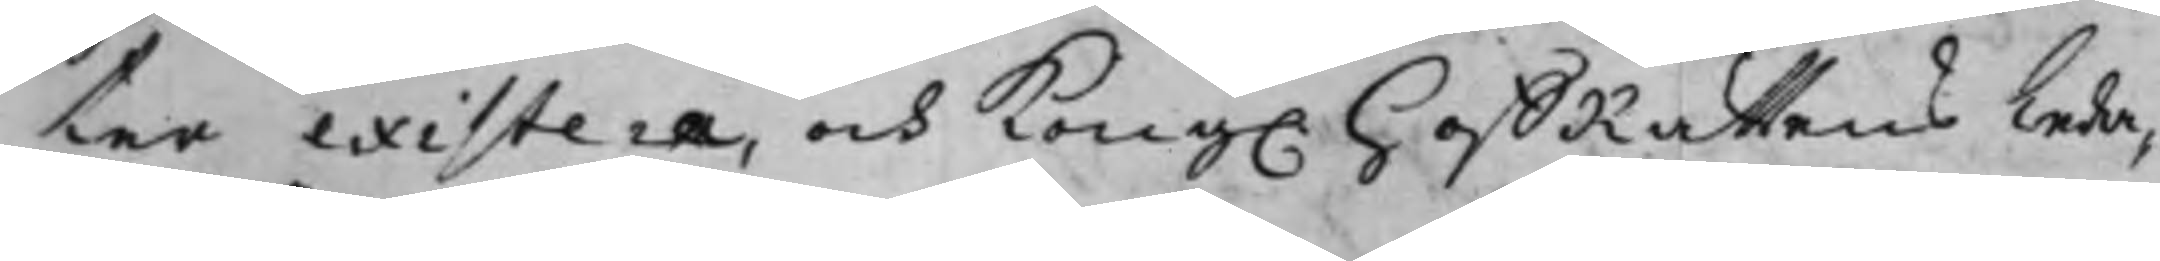ter existera, och Kong. HoffRättens Leda¬
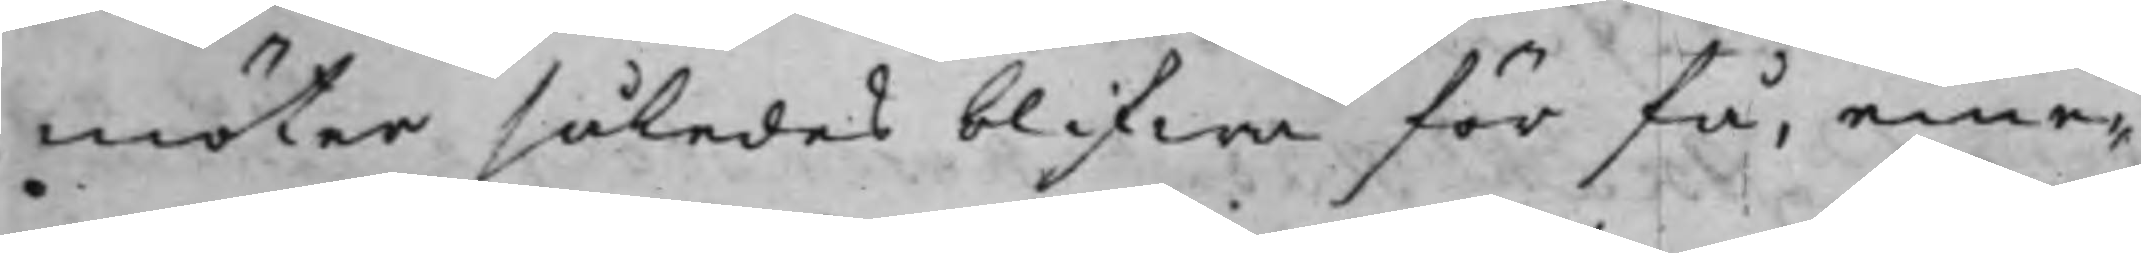möter således blifwa för få, eme¬
